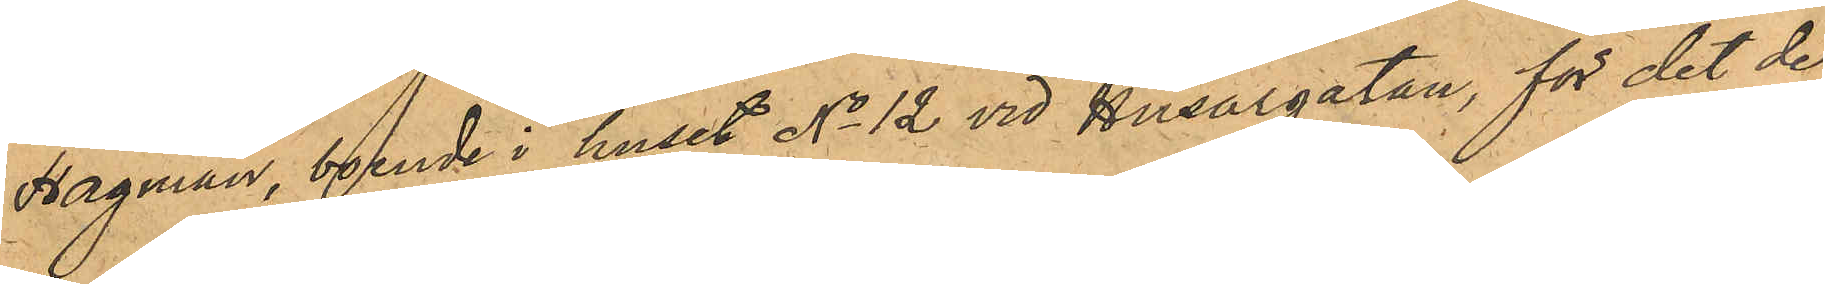Hagman, boende i huset No 12 vid Husargatan, för det de
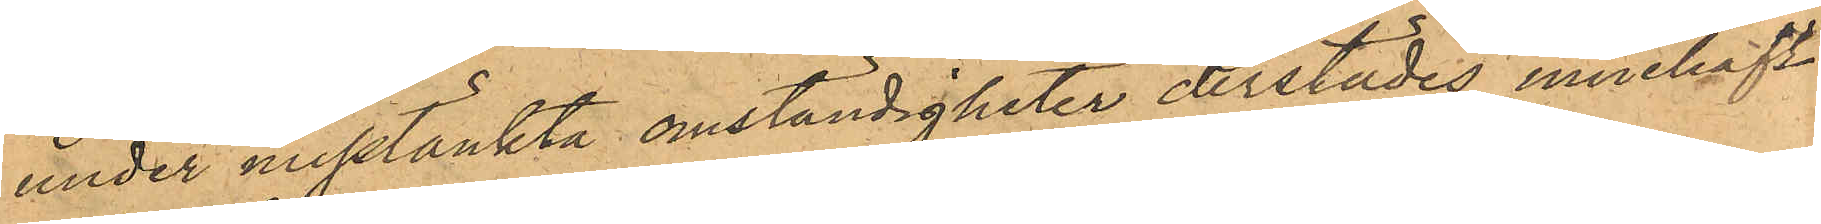under misstänkta omständigheter derstädes innehaft
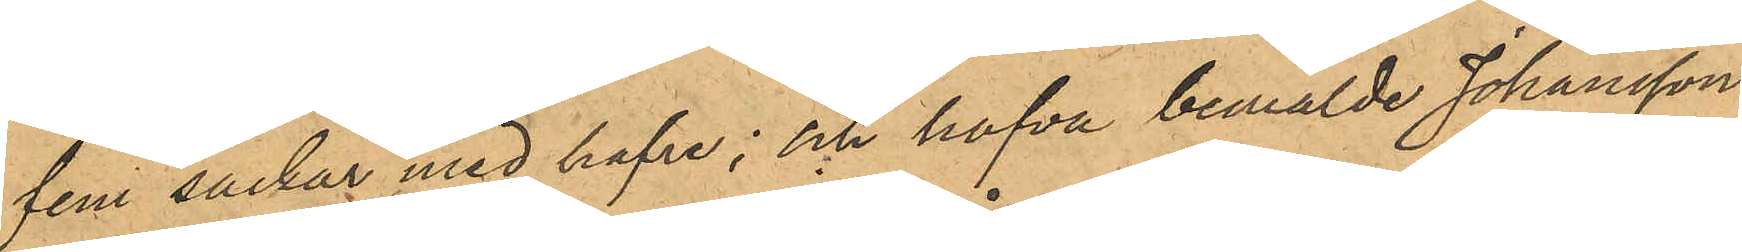fem säckar med hafre; och hafva bemälde Johansson
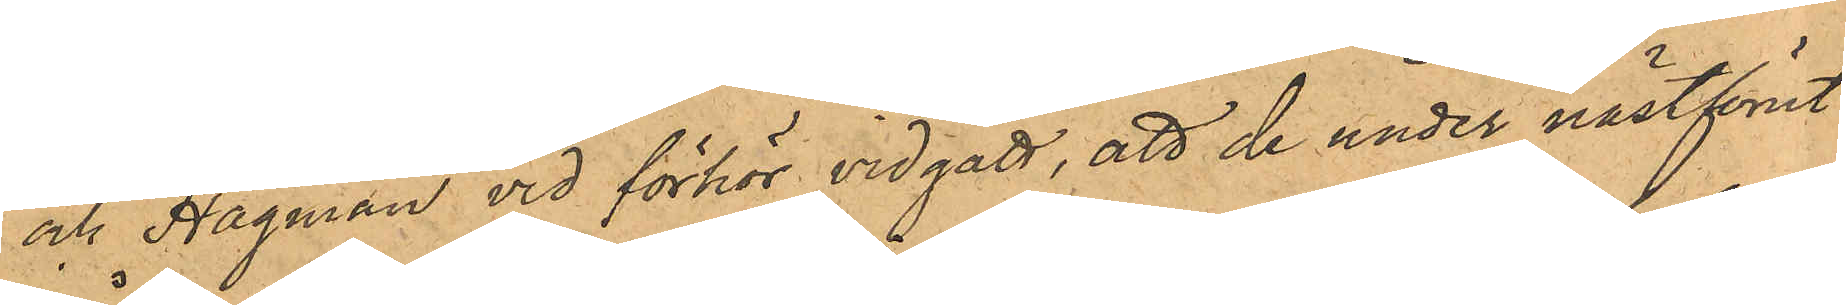och Hagman vid förhör vidgått, att de under nästförut¬
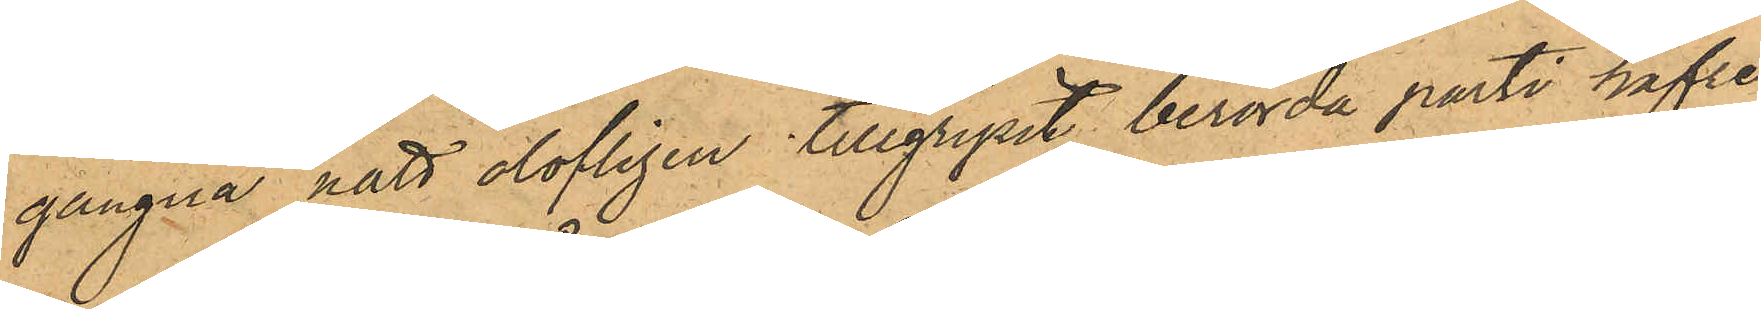gångna natt olofligen tillgripit berörda parti hafre
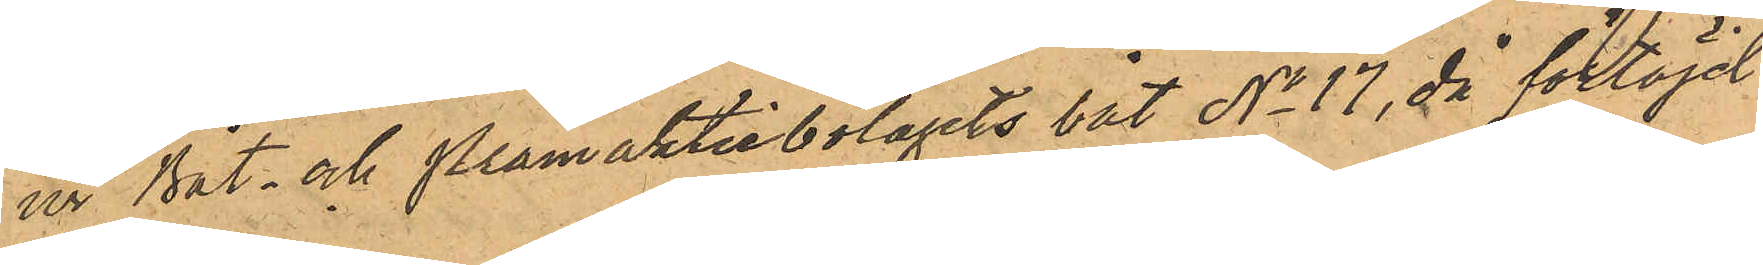ur Båt- och Pråmaktiebolagets båt No 17, då förtöjd
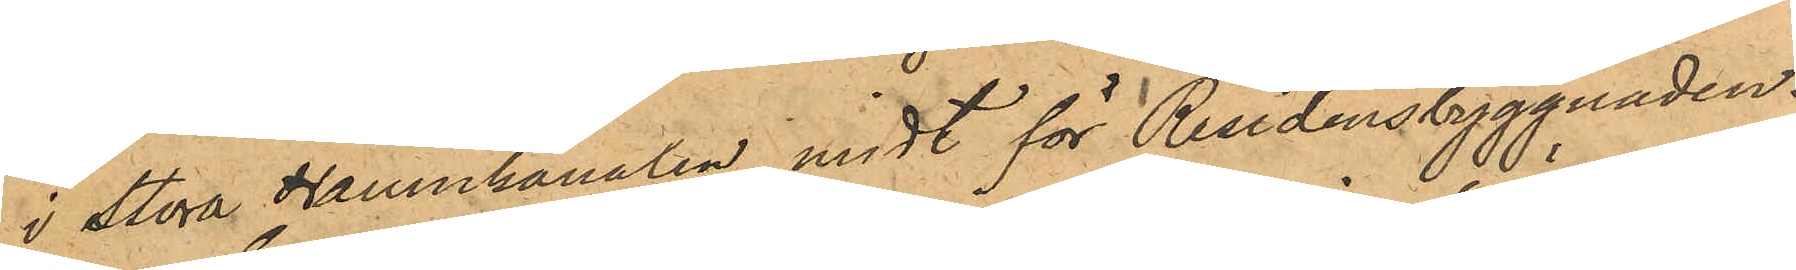i Stora Hamnkanalen midt för Residensbyggnaden.
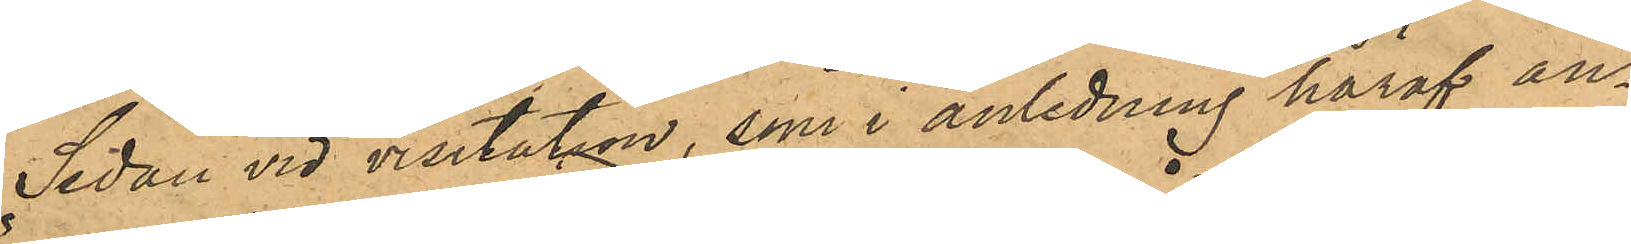Sedan vid visitation, som i anledning häraf an¬
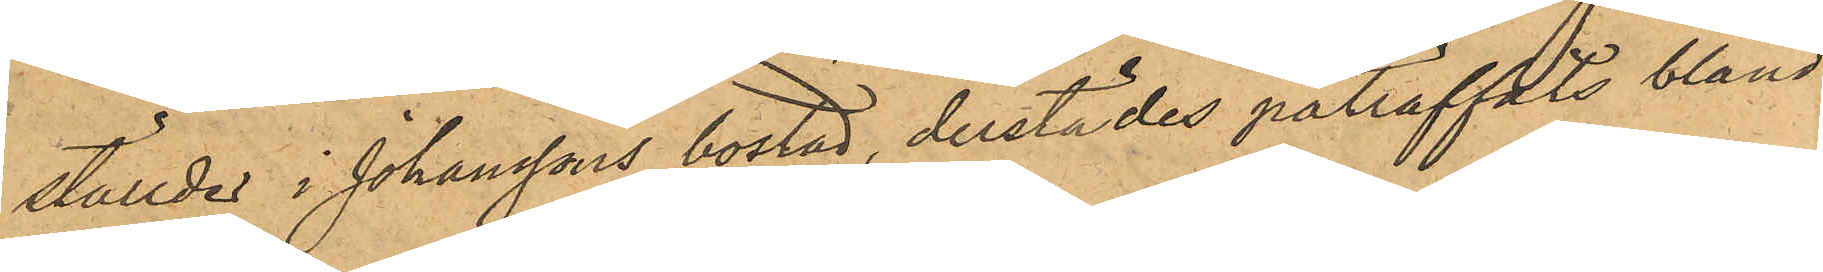ställdes i Johanssons bostad, derstädes påträffats bland
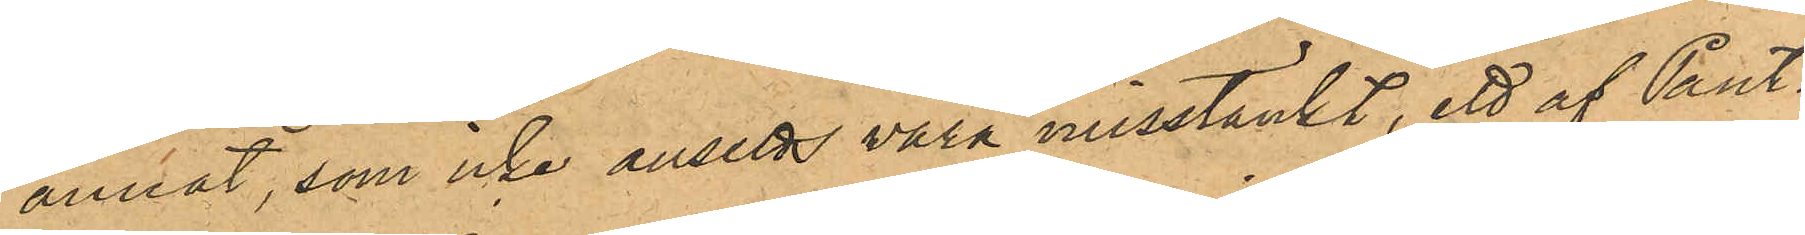annat, som icke ansetts vara misstänkt, ett af Pant¬
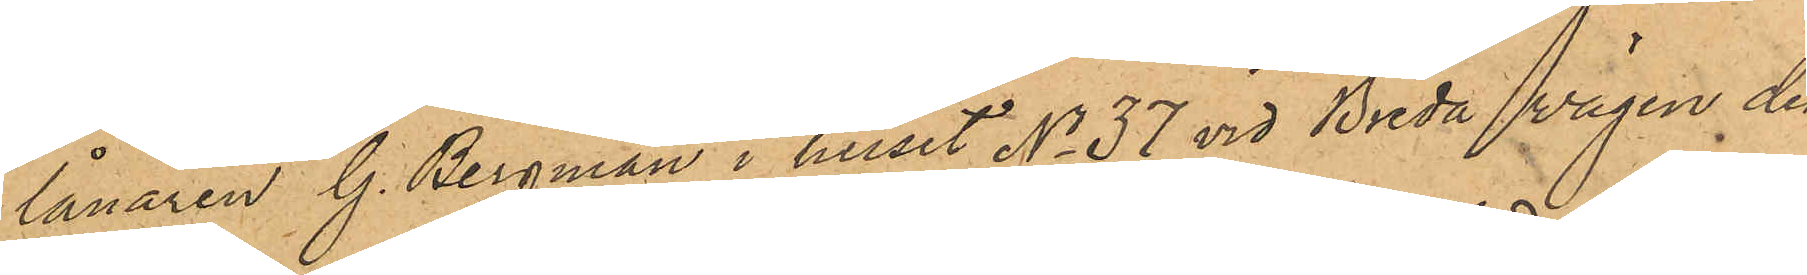lånaren G. Bergman i huset No 37 vid Breda Wägen den
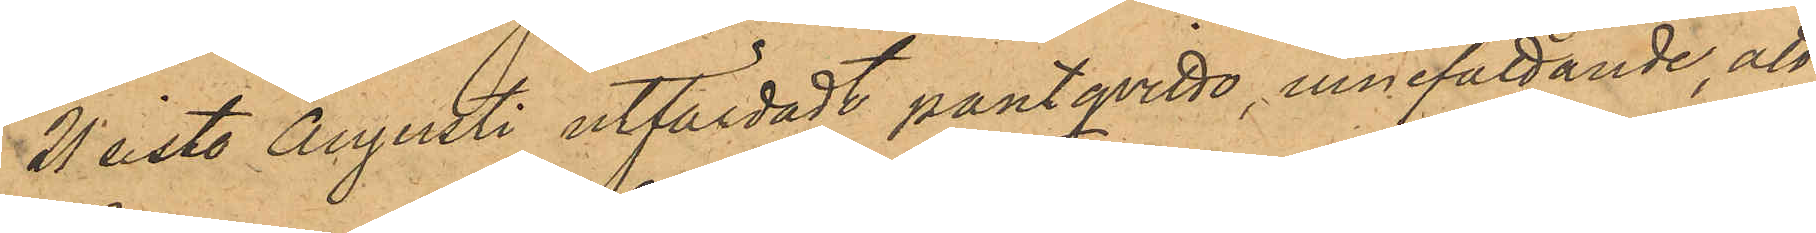21 sist. Augusti utfärdadt pantqvitto, innefattande att
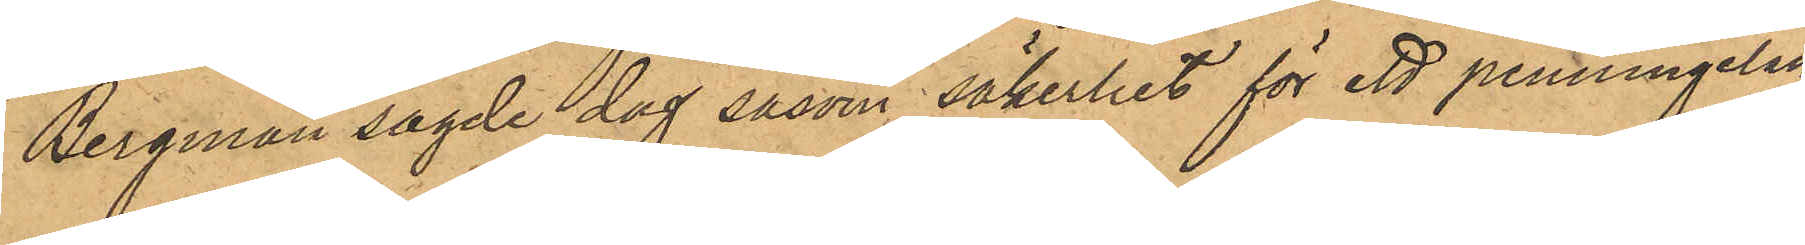Bergman sagde dag såsom säkerhet för ett penningelån
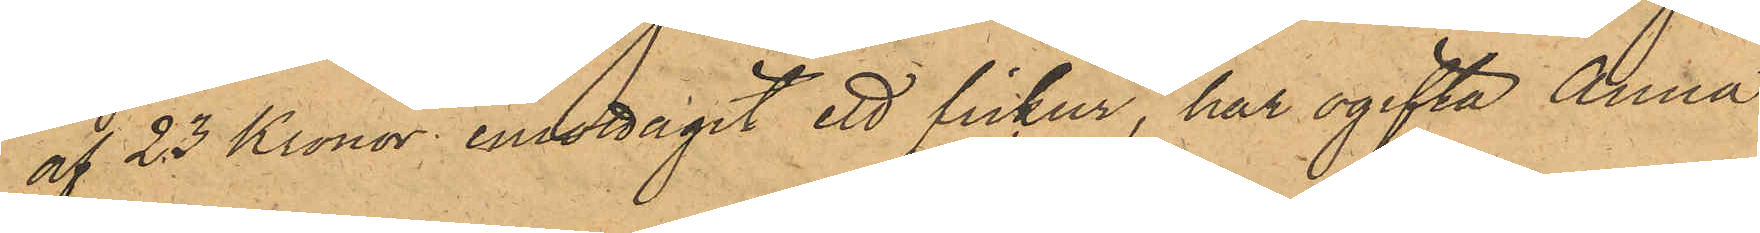af 23 Kronor, emottagit ett fickur, har ogifta Anna
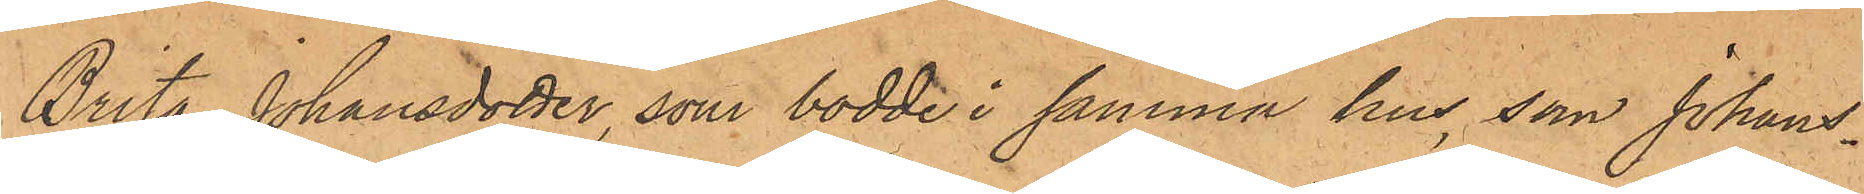Brita Johansdotter, som bodde i samma hus, som Johans¬
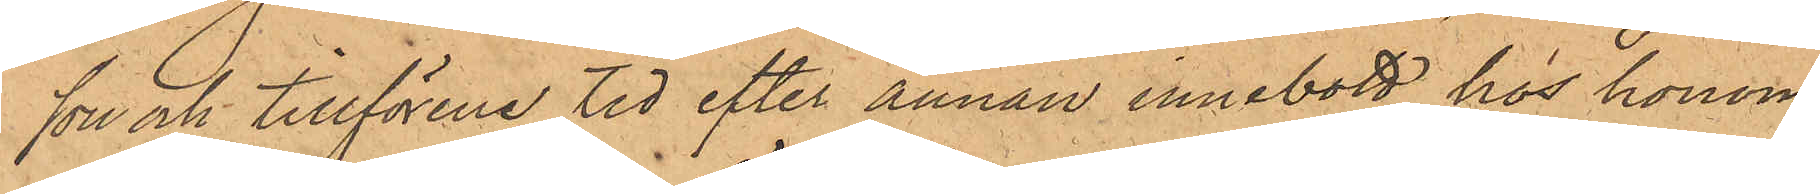son och tillförene tid efter annan innebott hos honom,
